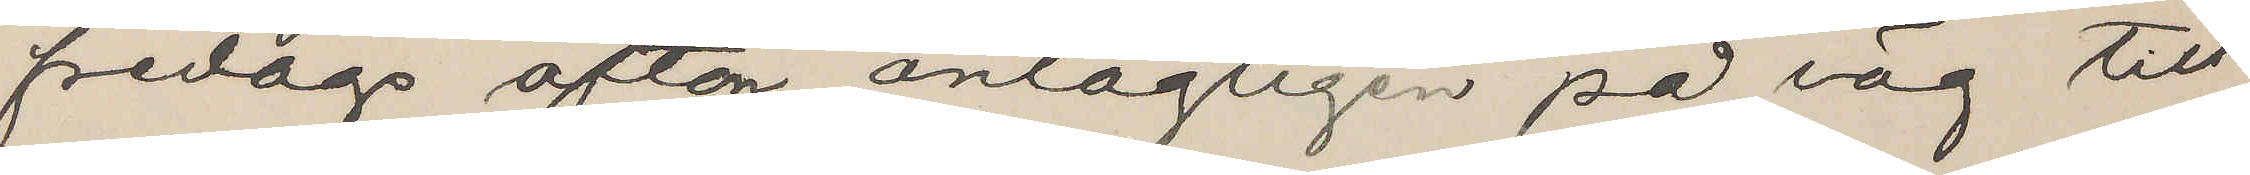fredags afton antagligen på väg till
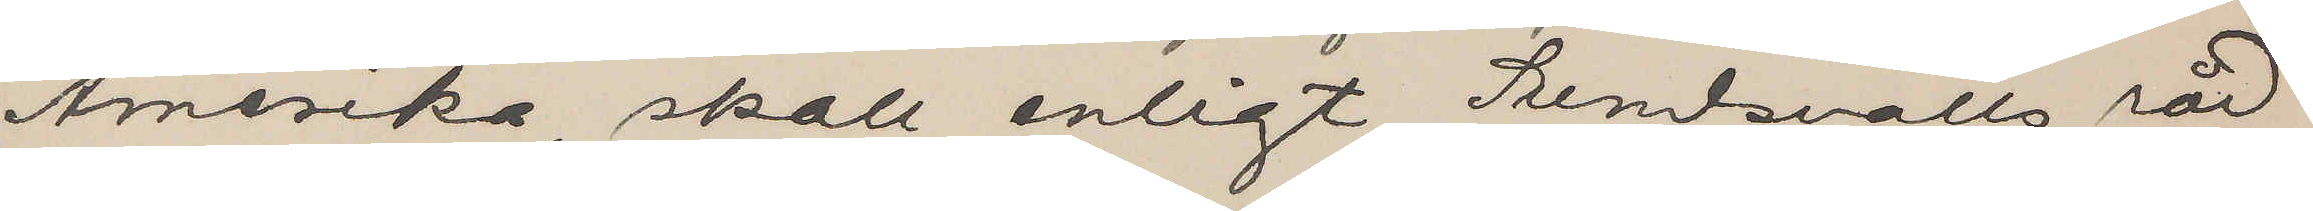Amerika, skall enligt Sundsvalls råd¬
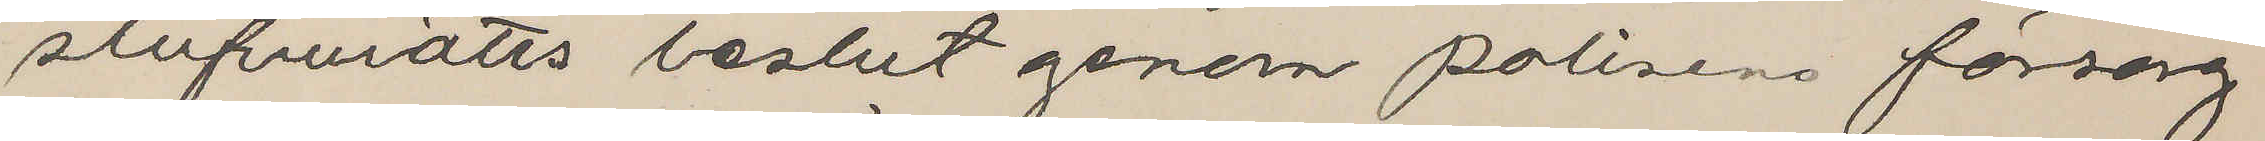stufvurätts beslut genom polisens försorg
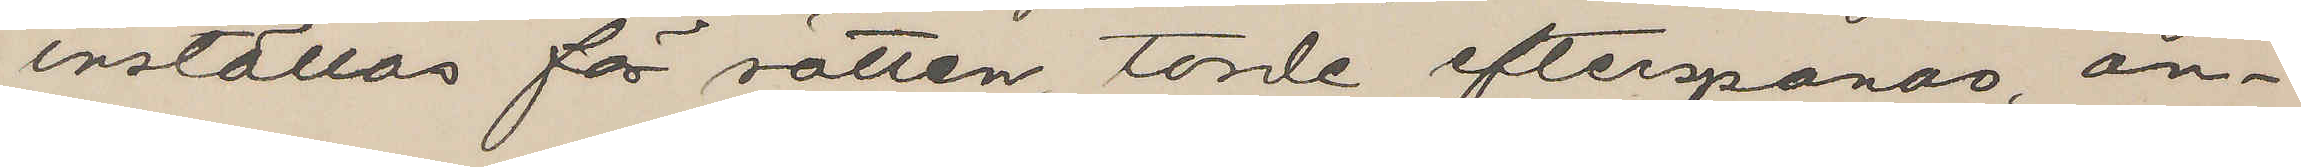inställas för rätten, torde efterspanas, an¬
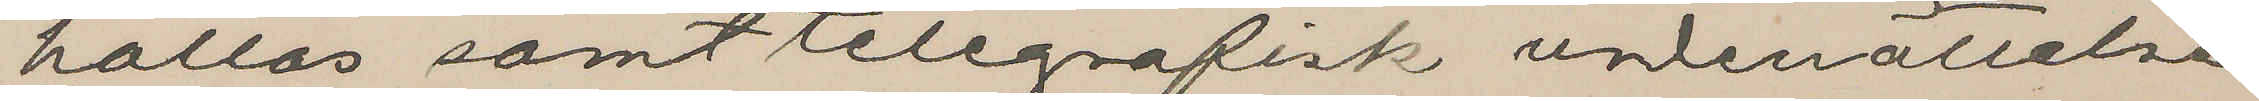hållas samt telegrafisk underättelse
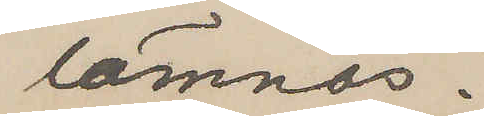lämnas.
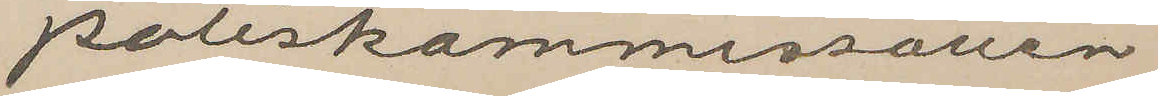Poliskommissarien
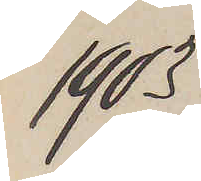1903
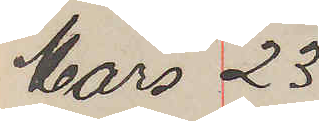Mars 23
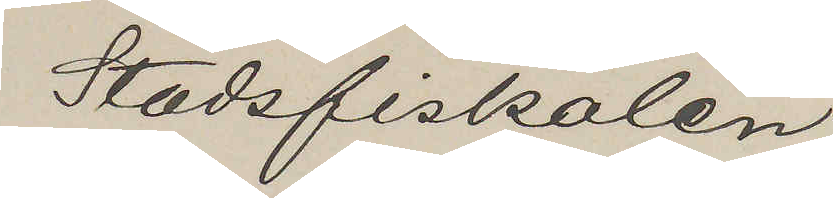Stadsfiskalen
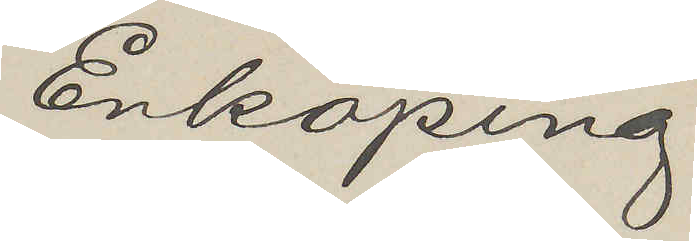Enköping
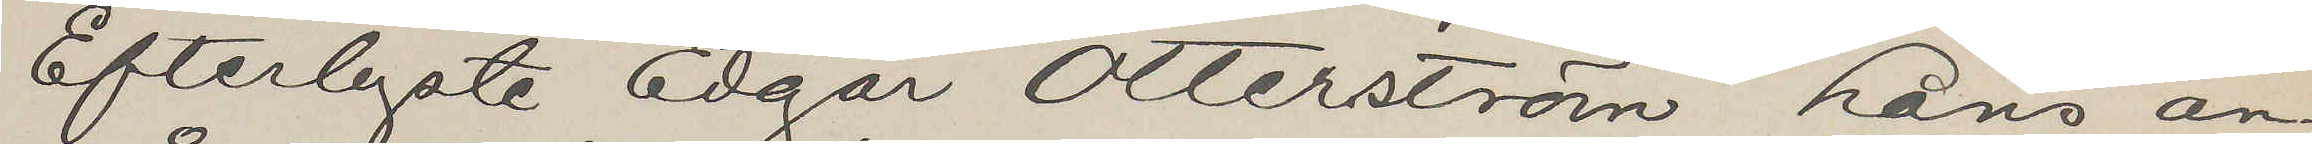Efterlyste Edgar Otterström Lans an¬
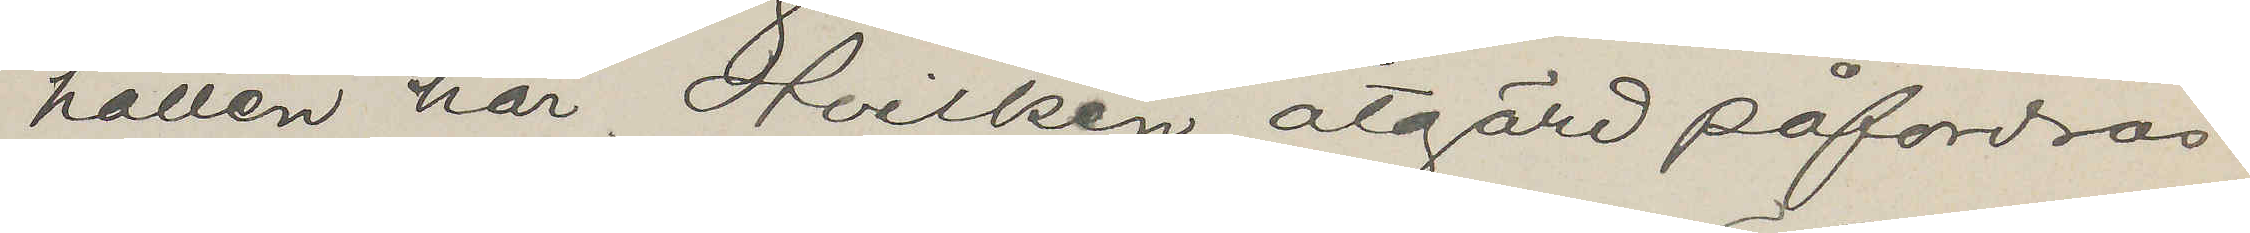hållen här. Hvilken åtgärd påfordras.
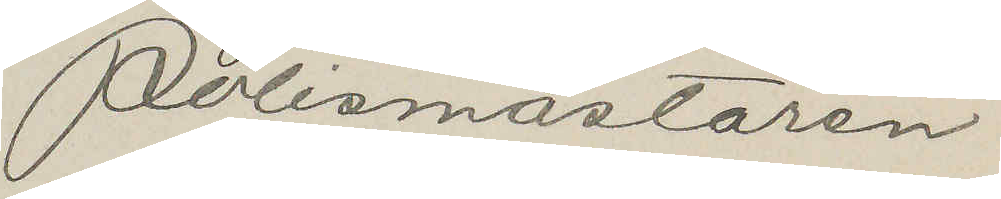Polismästaren
